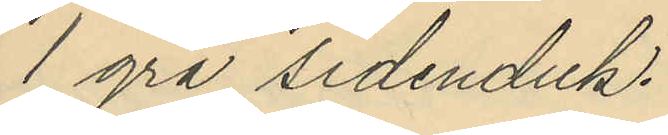1 grå sidenduk.
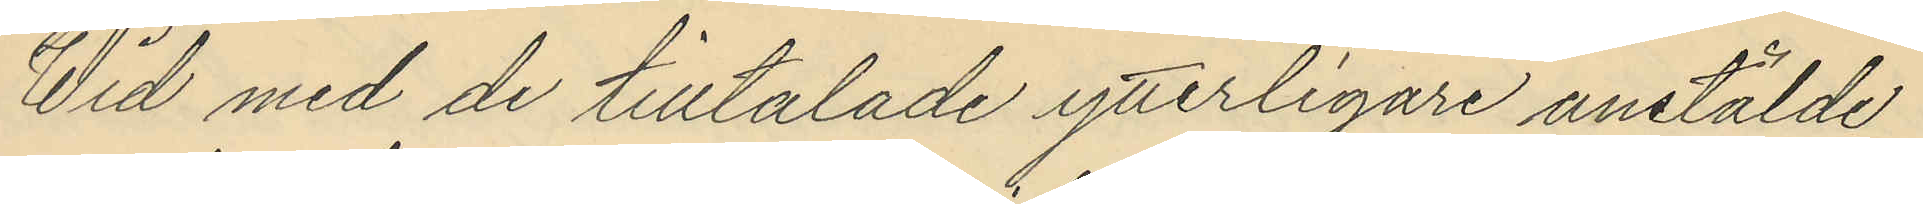Wid med de tilltalade ytterligare anstälde
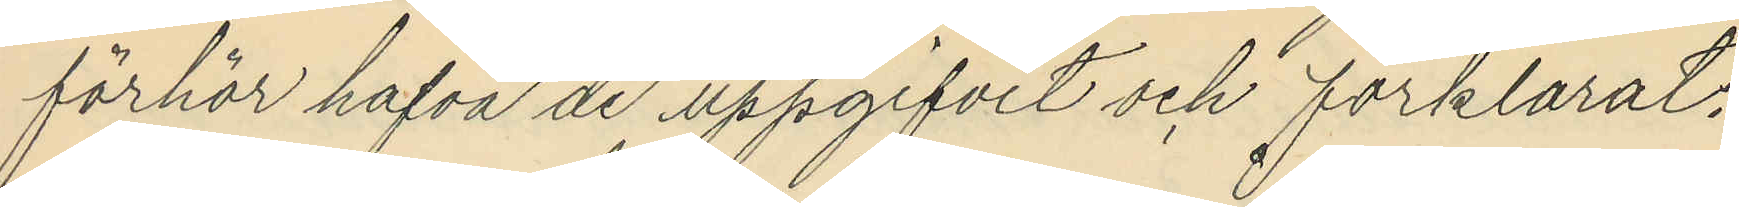förhör hafva de uppgifvit och förklarat:
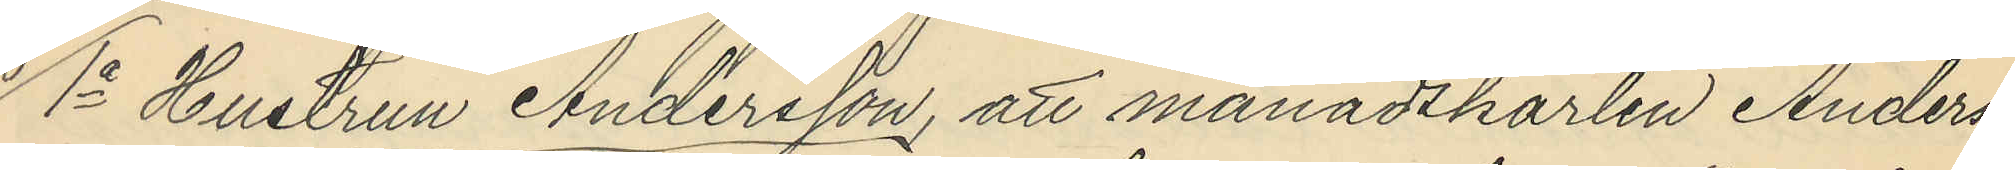1o Hustrun Andersson, att månadskarlen Anders¬
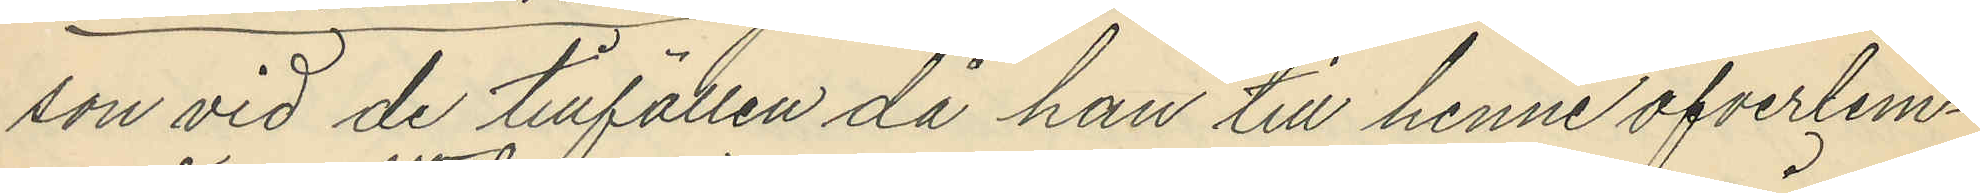son vid de tillfällen då han till henne öfverlem¬
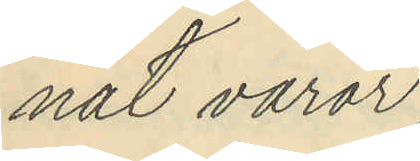nat varor
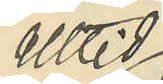alltid
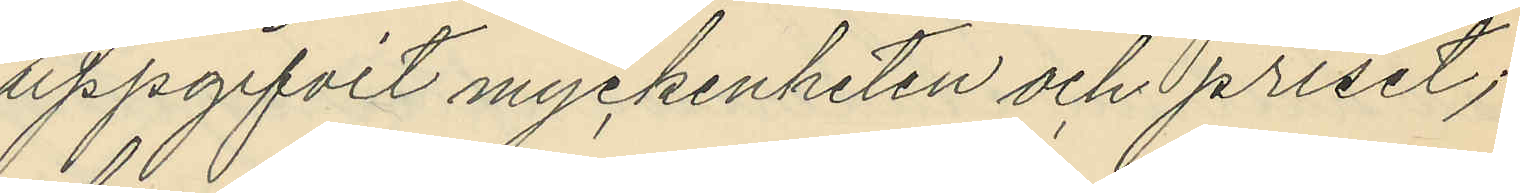uppgifvit myckenheten och priset;
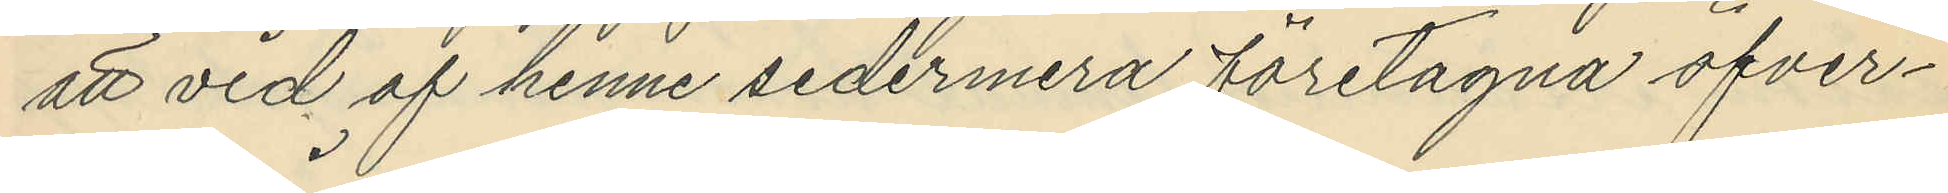att vid af henne sedermera företagna öfver¬
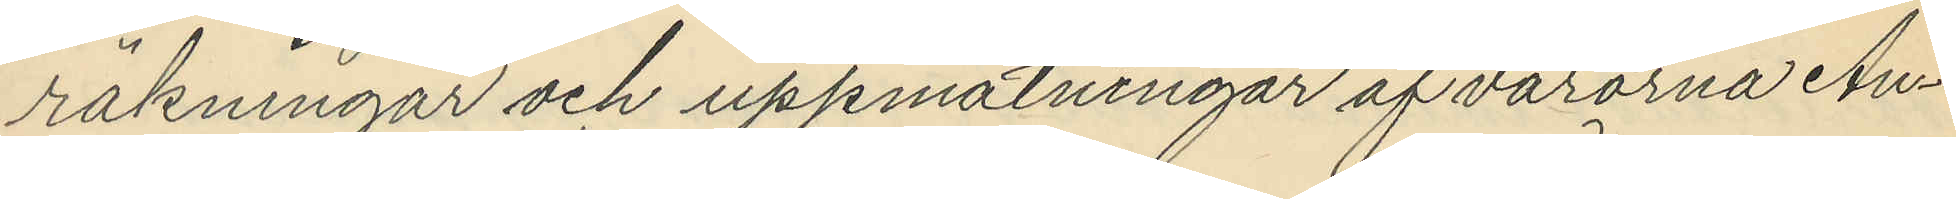räkningar och uppmätningar af varorna An¬
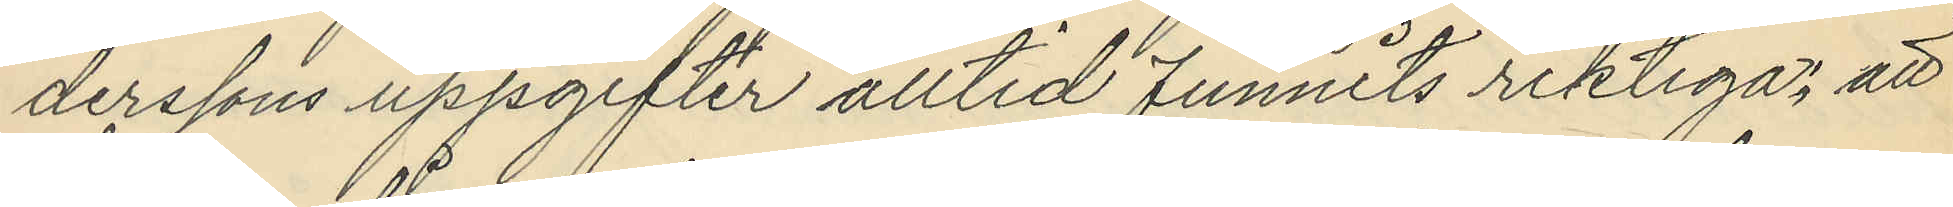derssons uppgifter alltid funnits riktiga; att
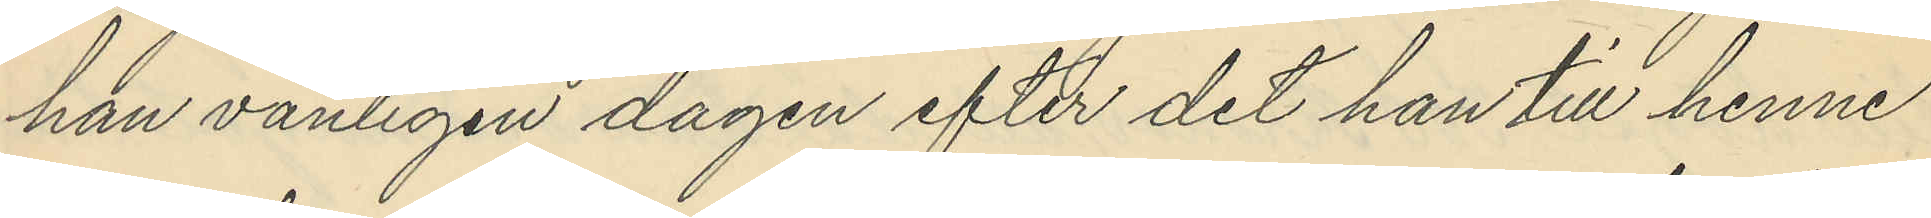han vanligen dagen efter det han till henne
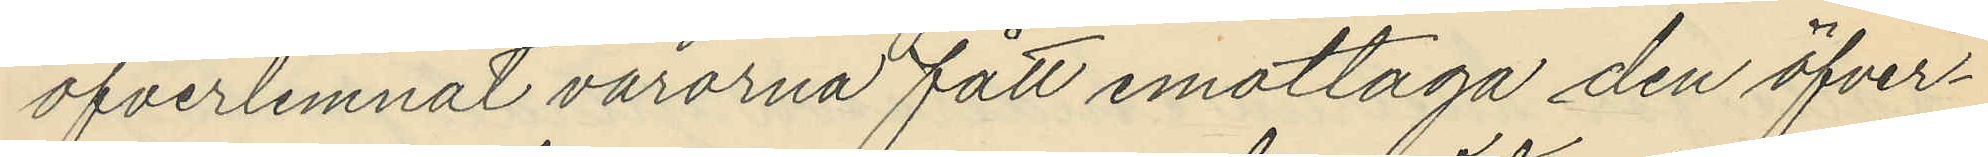öfverlemnat varorna fått emottaga den öfver¬
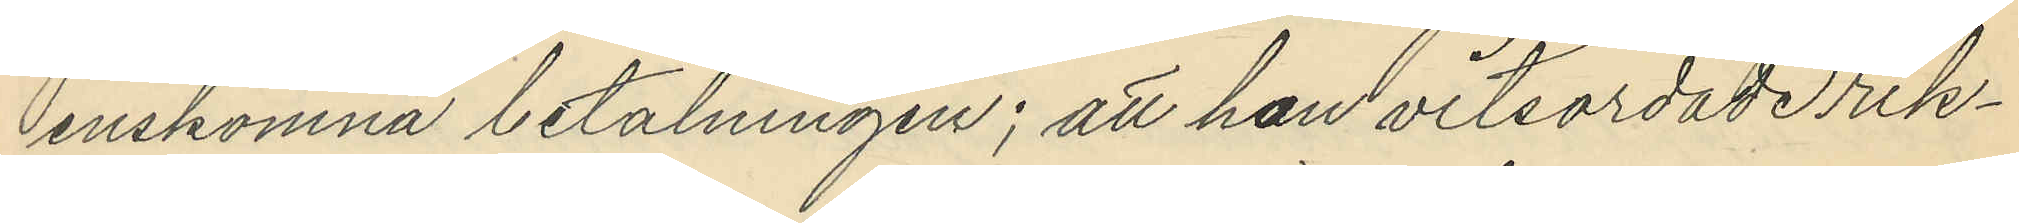enskomna betalningen; att hon vitsordade rik¬
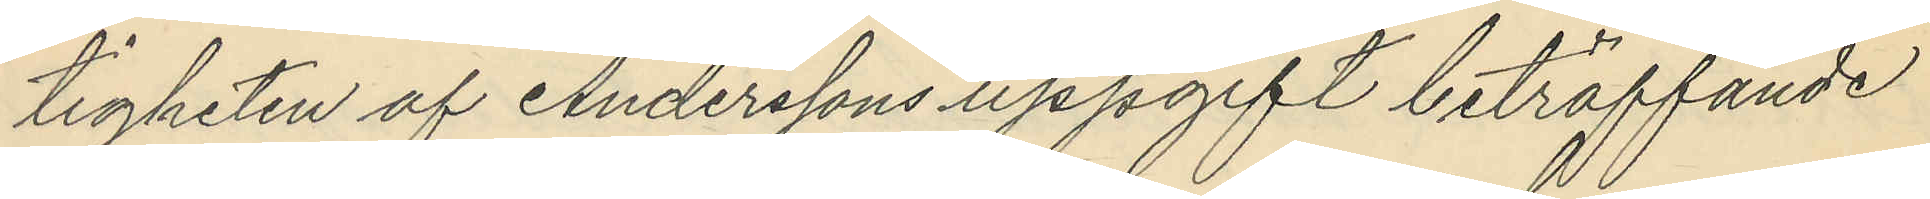tigheten af Anderssons uppgift beträffande
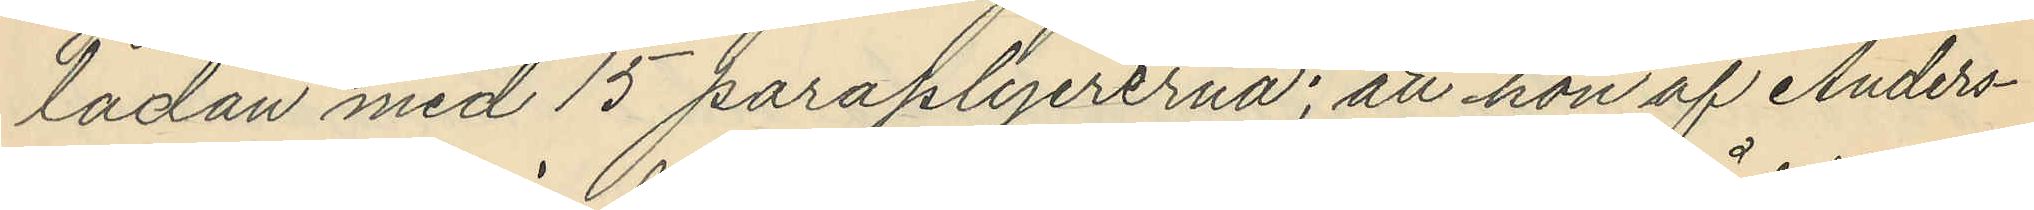lådan med 15 paraplyererna; att hon af Anders¬
